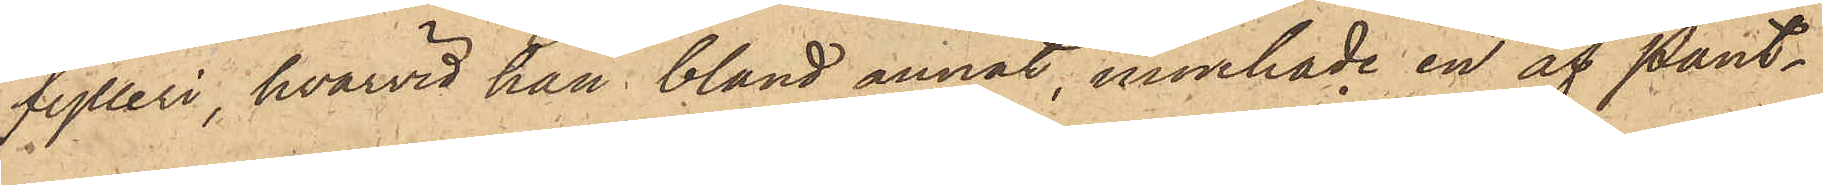fylleri, hvarvid han bland annat, innehade en af Pant¬
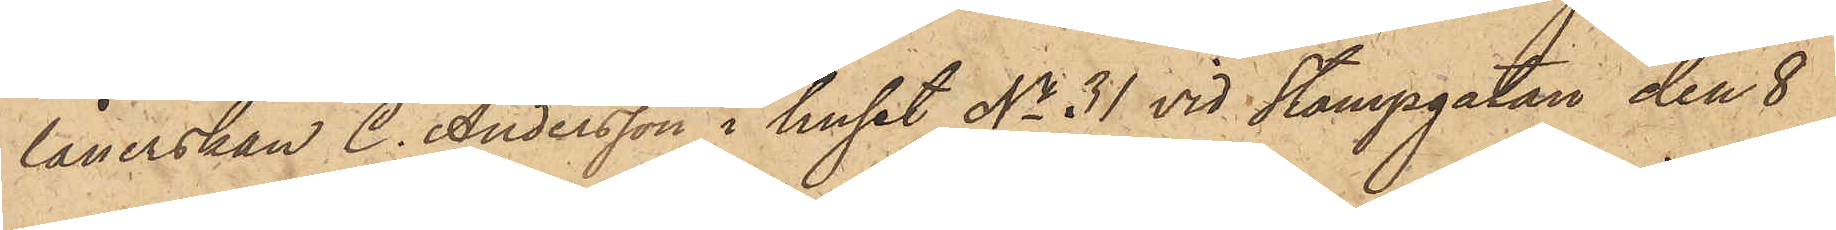lånerskan C. Andersson i huset No 31 vid Stampgatan den 8
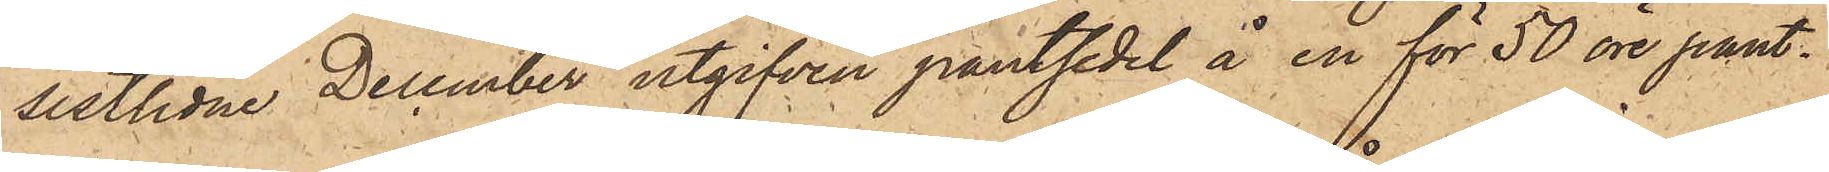sistlidne December utgifven pantsedel å en för 50 öre pant¬
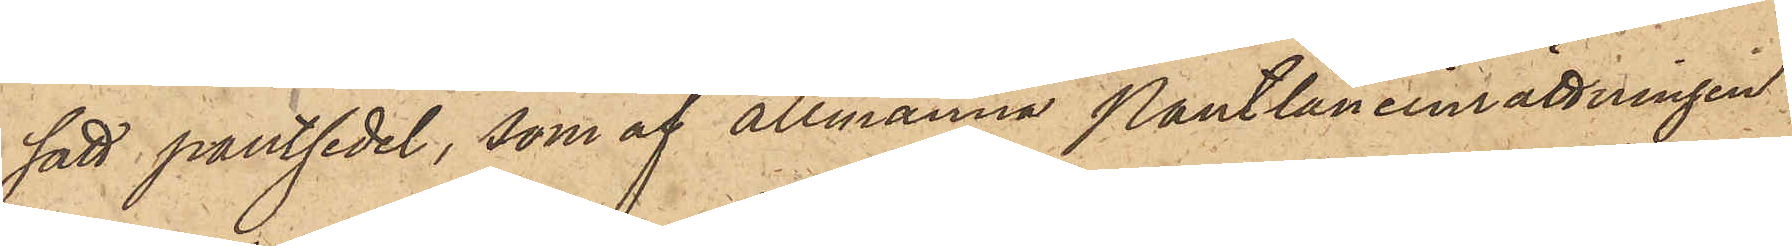satt pantsedel, som af allmänna Pantlåneinrättningen
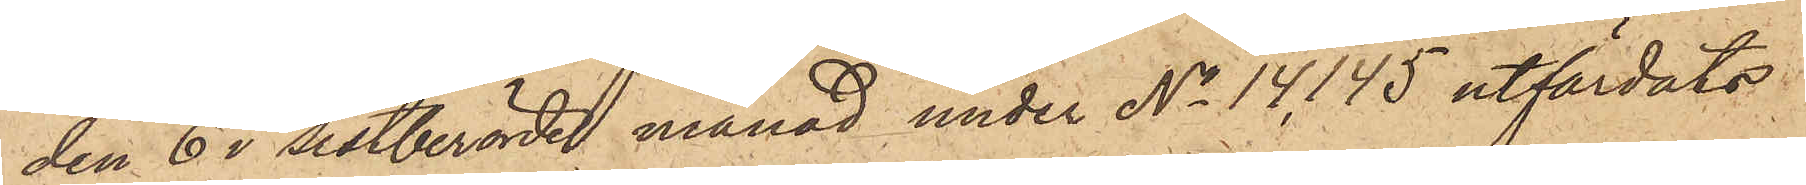den 6 i sistberörde månad under No 14,145 utfärdats
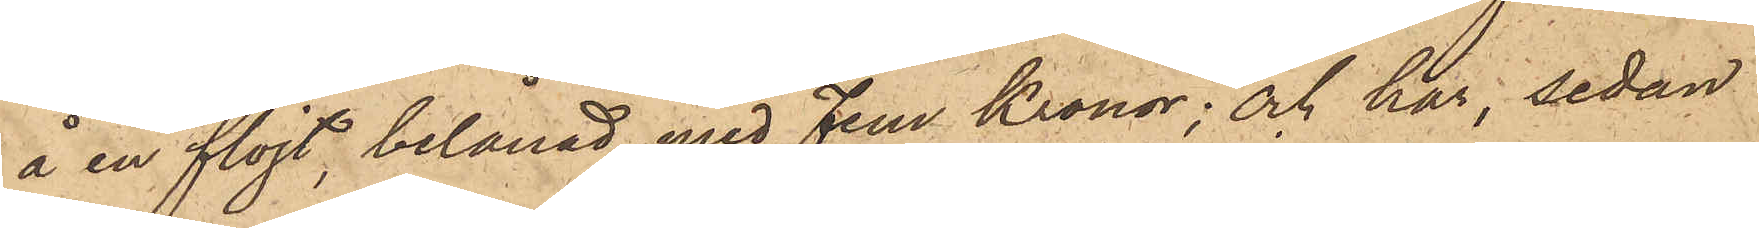å en flöjt, belånad med Fem Kronor; och har, sedan
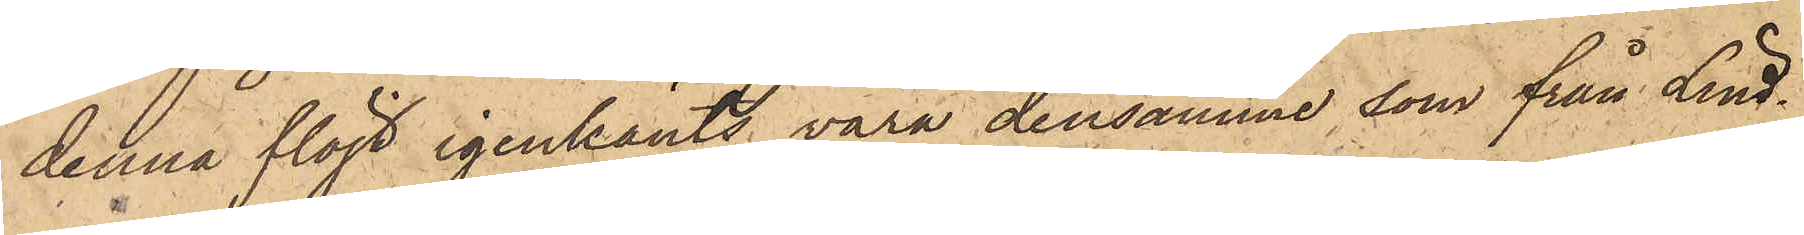denna flöjt igenkänts vara densamme, som från Lind¬
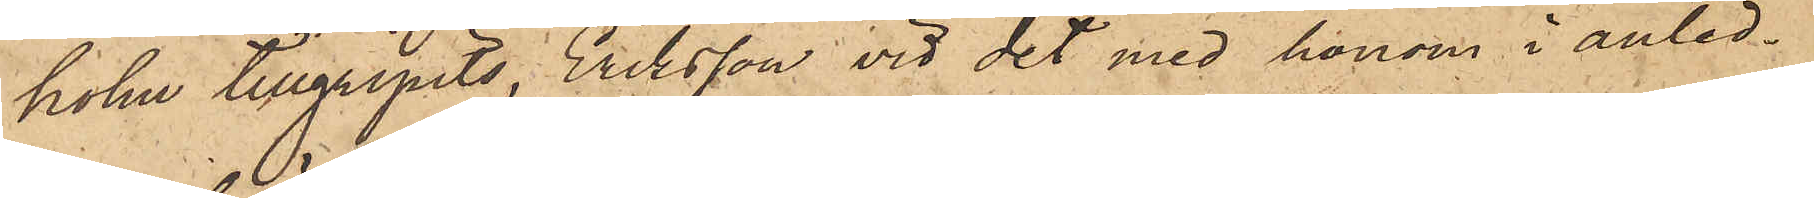holm tillgripits, Eriksson vid det med honom i anled¬
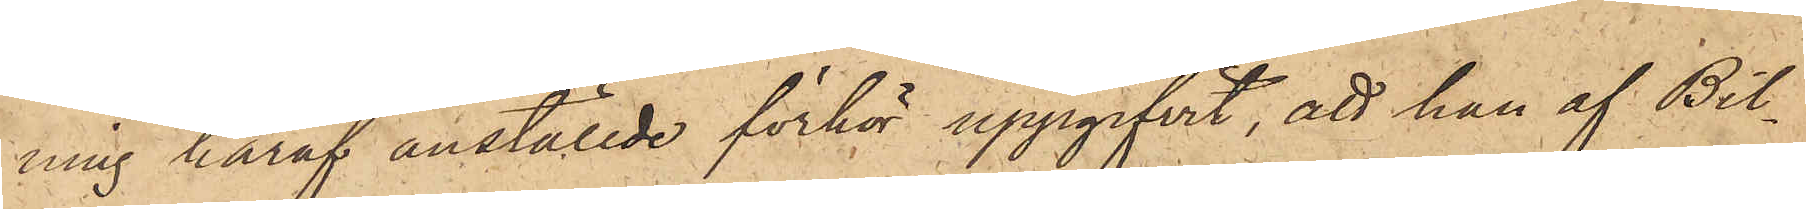ning häraf anställde förhör uppgifvit, att han af Bil¬
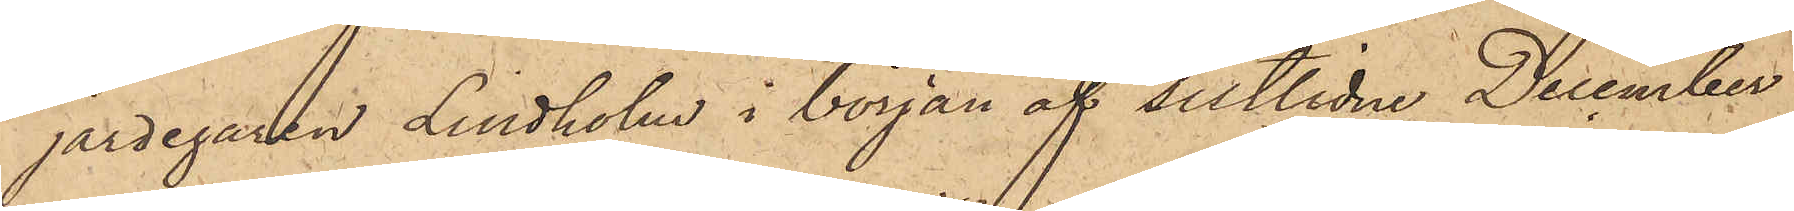jardegaren Lindholm i början af sistlidne December
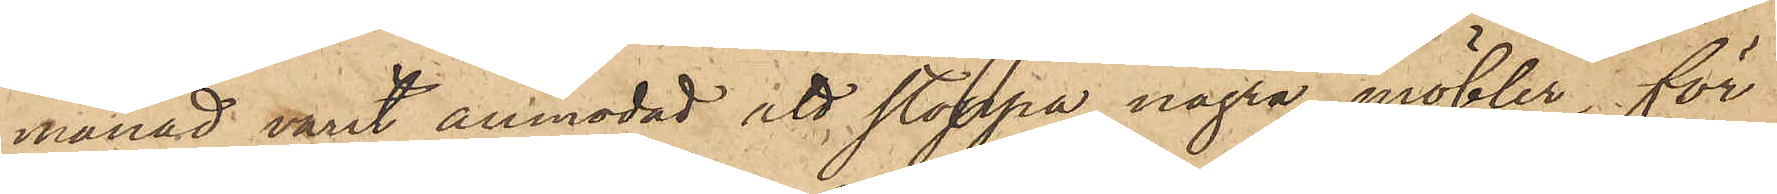månad varit anmodad att stoppa några möbler för
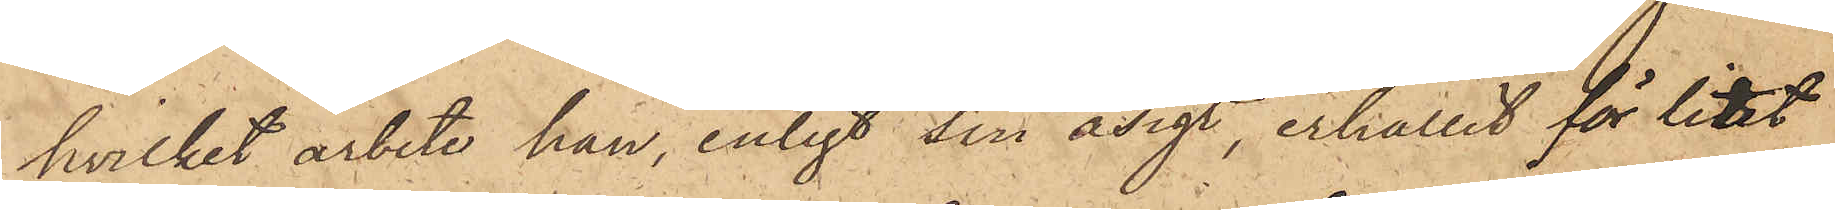hvilket arbete han, enligt sin åsigt, erhållit för litet
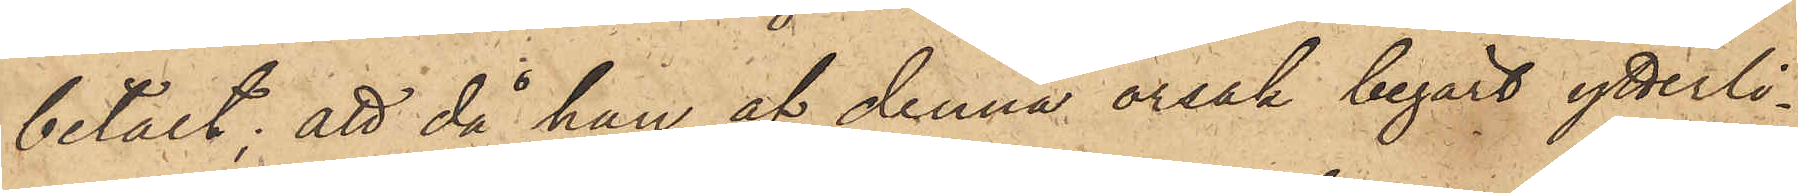betalt; att då han af denna orsak begärt ytterli¬
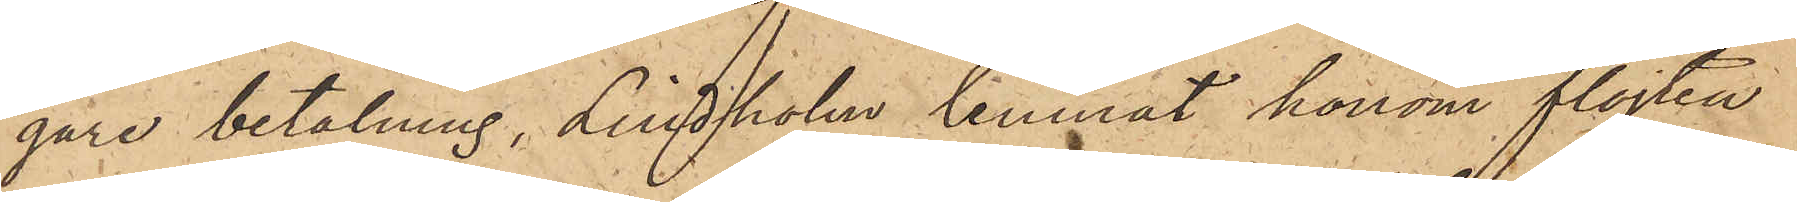gare betalning, Lindholm lemnat honom flöjten
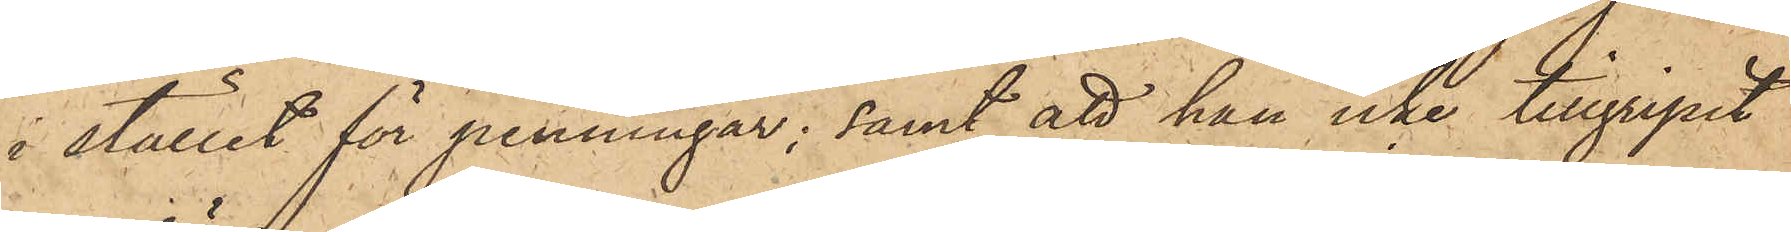i stället för penningar; samt att han icke tillgripit
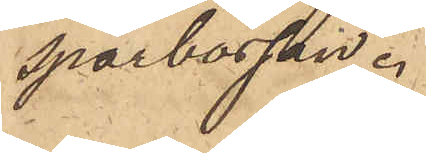sparbössan.
